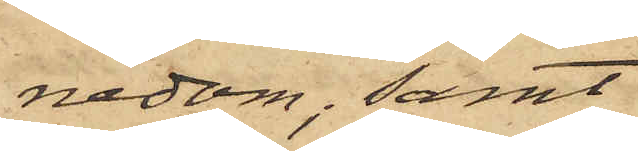nedom; samt
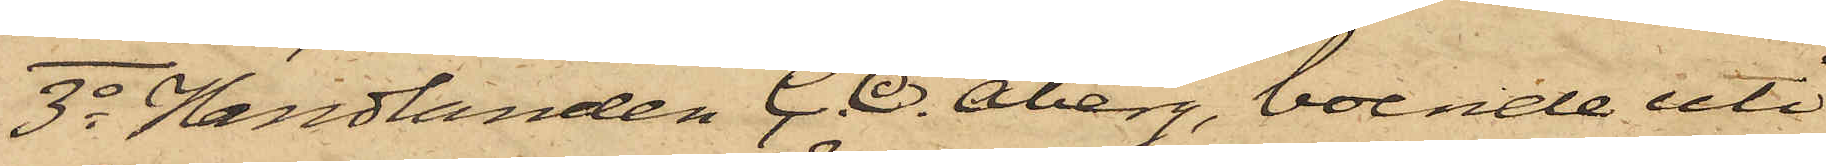3o Handlanden C. O. Åberg, boende uti
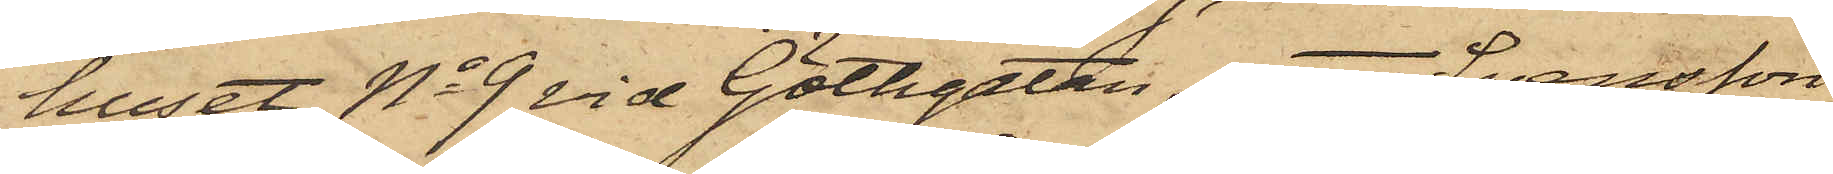huset No 9 vid Götgatan, att Svensson
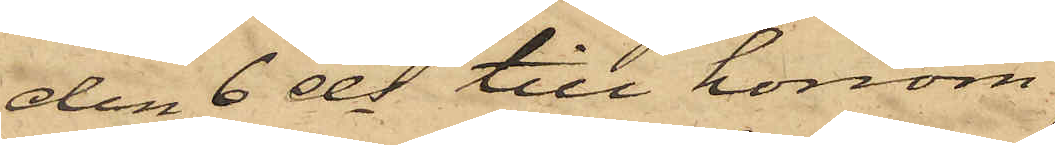den 6 ds till honom
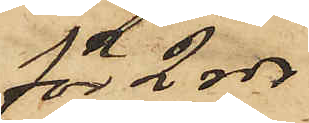för 2 rdr
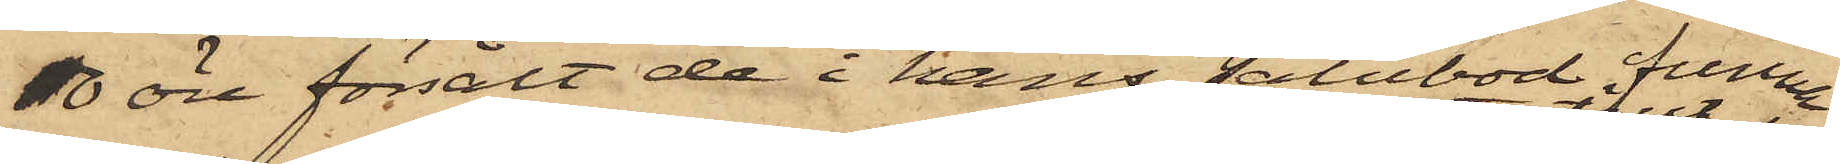10 öre försålt de i hans salubod funne
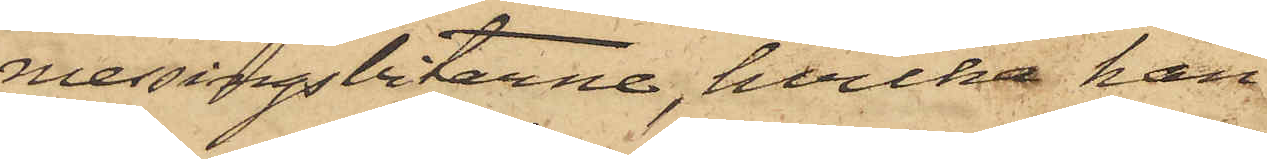messingsbitarne, hvilka han
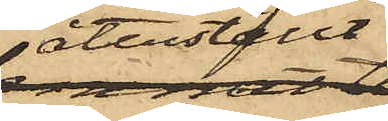återställt
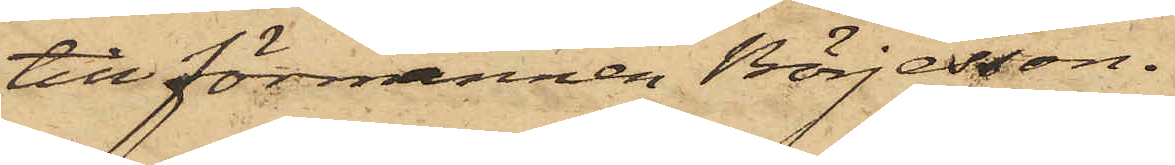till förmannen Börjesson.
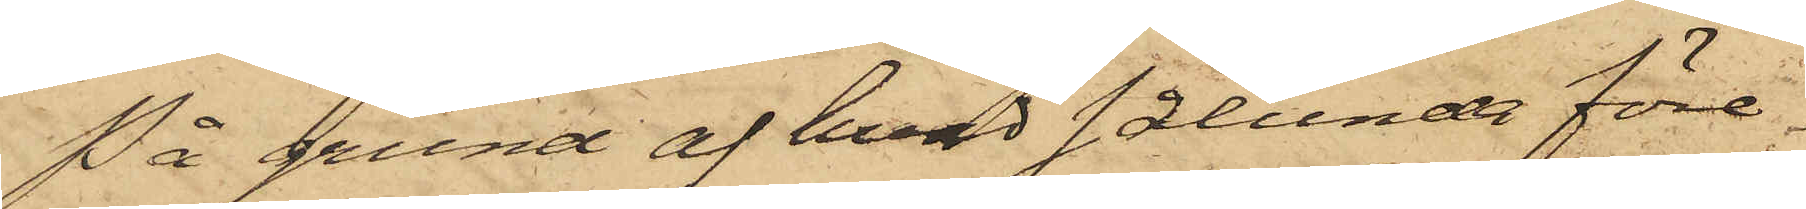På grund af hvad sålunda före¬
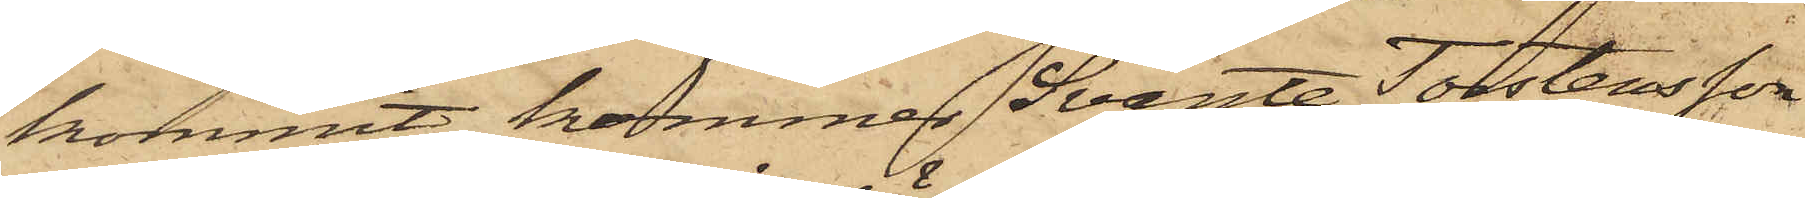kommit, kommer Svante Torstensson
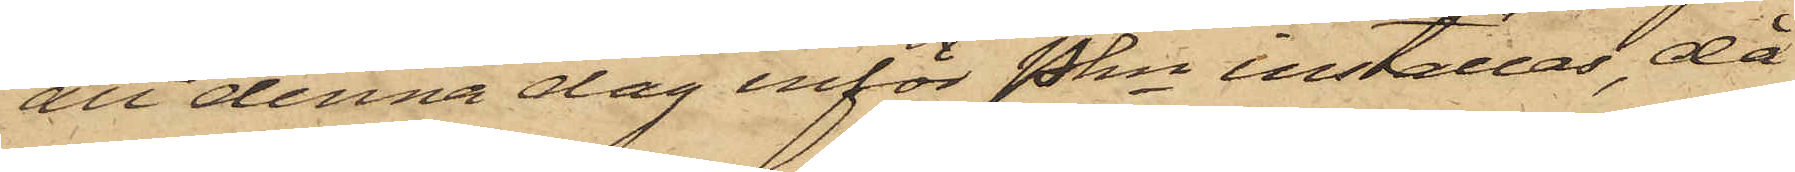att denna dag inför Pkn inställas, då
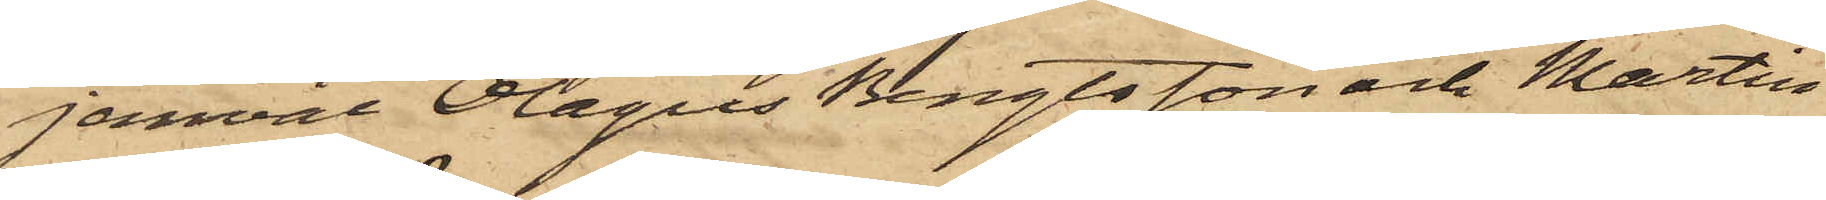jemväl Olagus Bengtsson och Martin
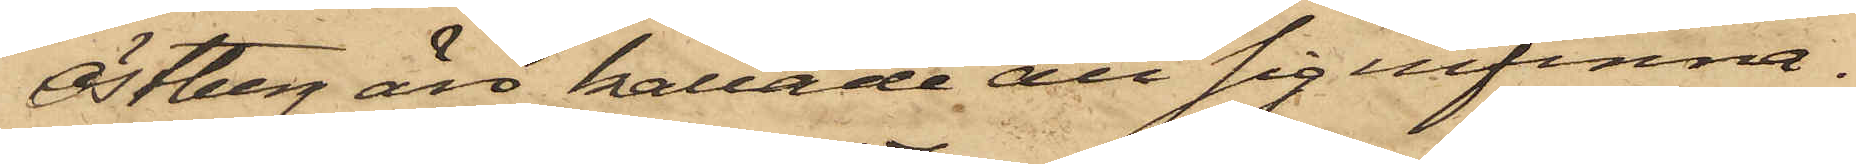Östberg äro kallade att sig infinna.
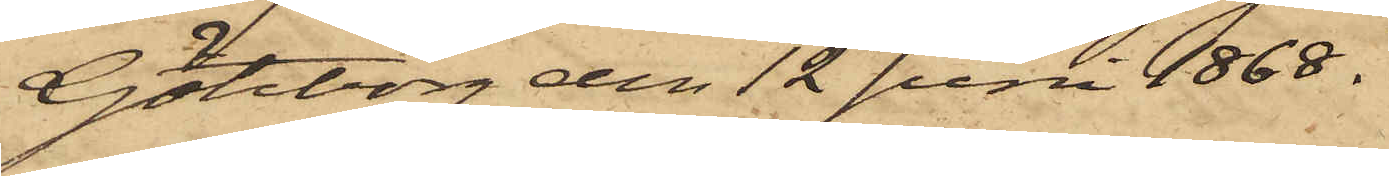Göteborg den 12 Juni 1868.
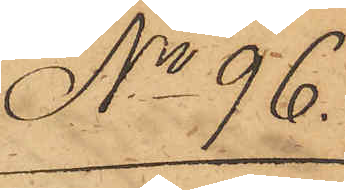No 96.
